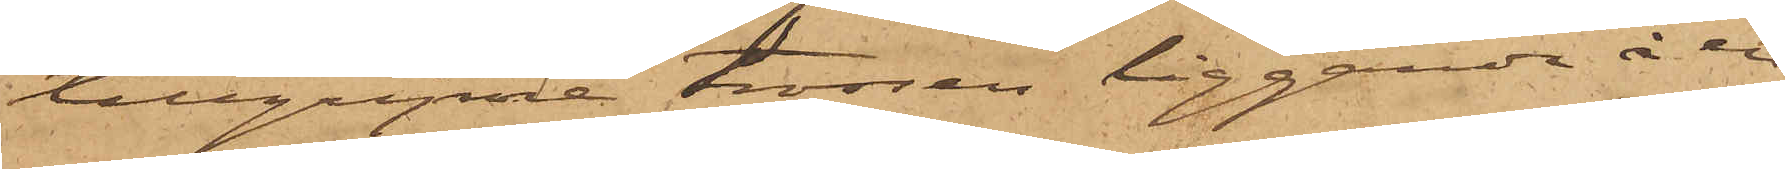tillgripne trossen liggande å en
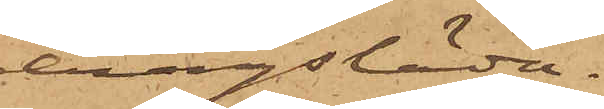dragsläde.
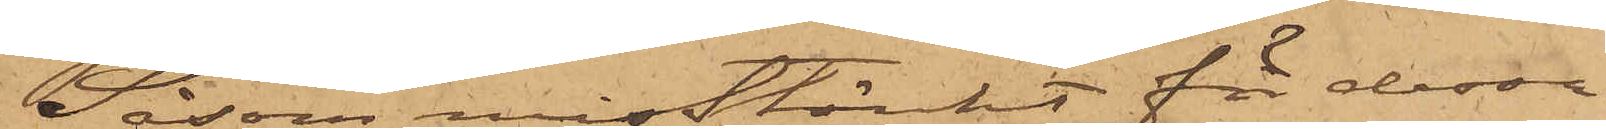Såsom misstänkt för dessa
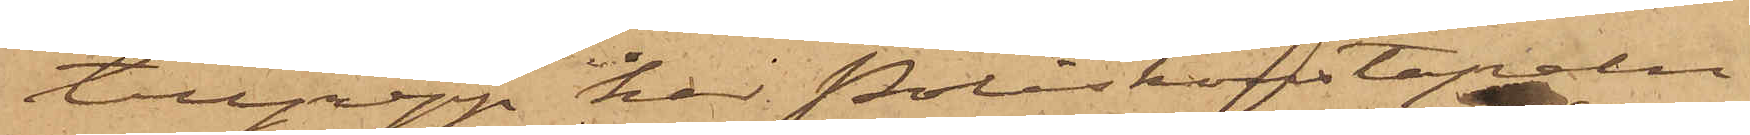tillgrepp har Poliskonstapeln
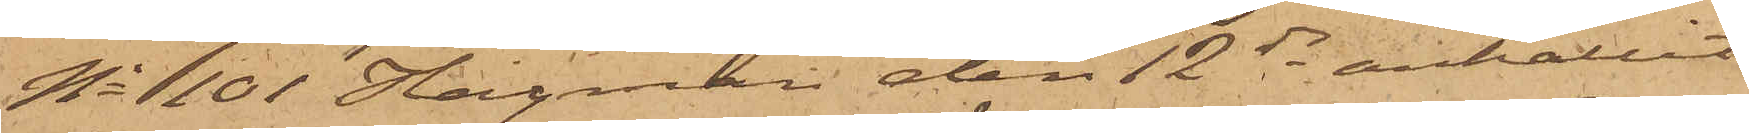No 101 Hagman den 12 ds anhållit
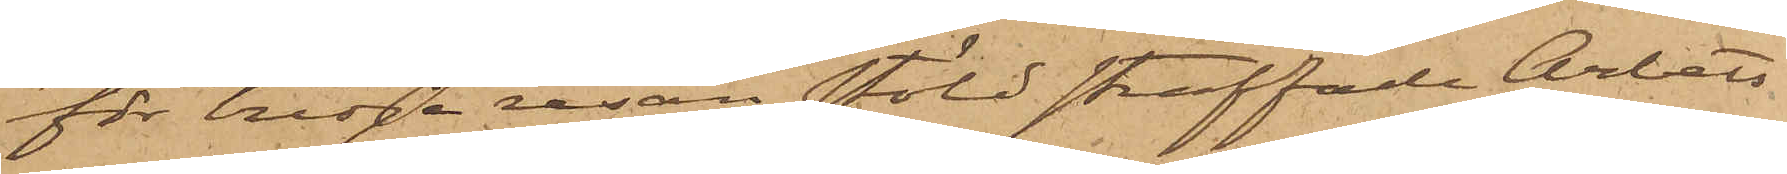för tredje resan stöld straffade Arbets¬
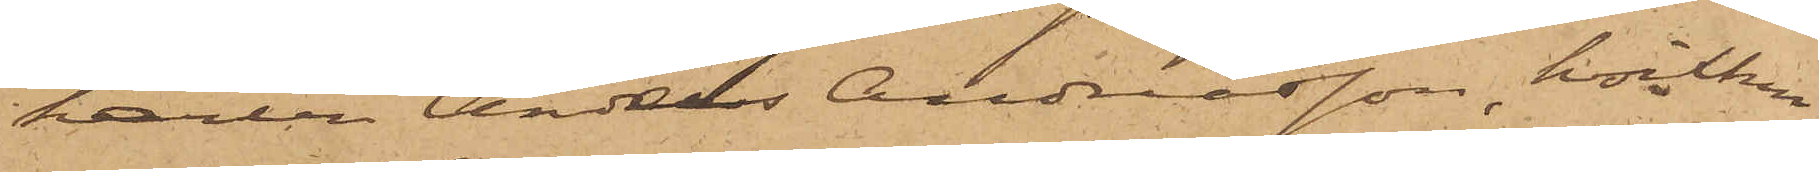karlen Anders Andreasson, hvilken
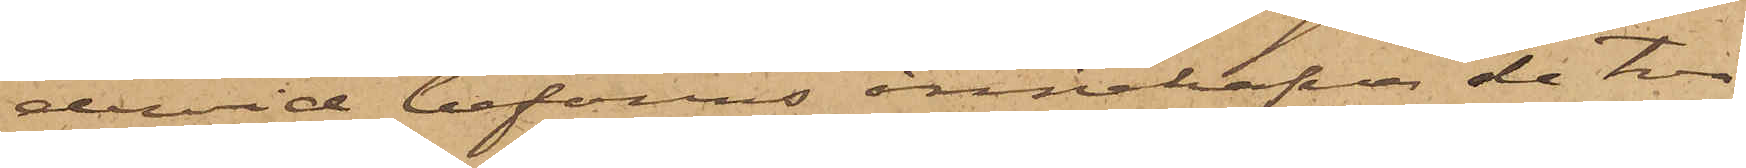dervid befanns innehafva de två
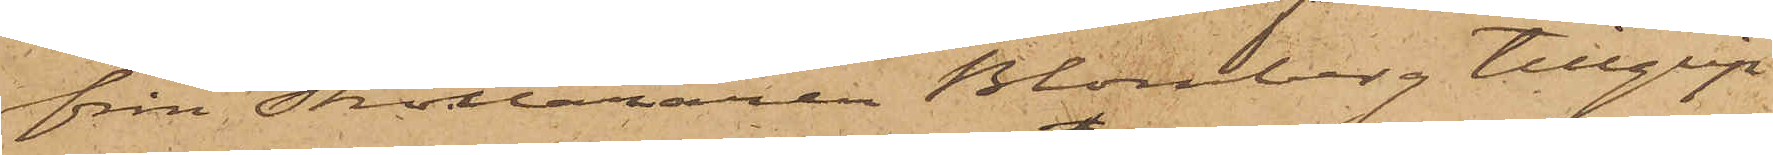från Skolläraren Blomberg tillgrip¬
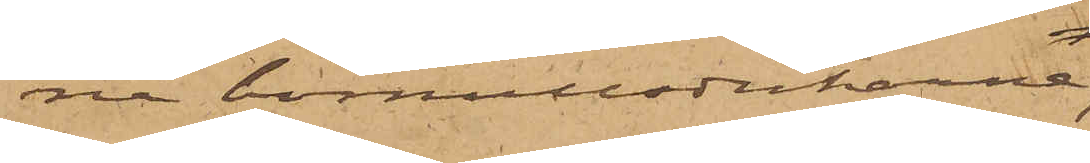na bomullsdukarne;
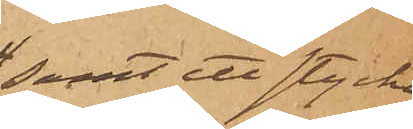samt ett stycke
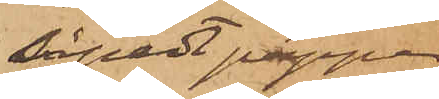såpadt papper
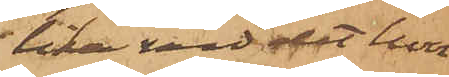lika vid det hvar¬
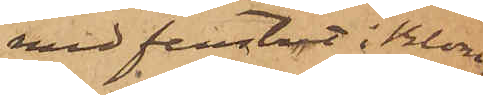med fenstret i Blom¬
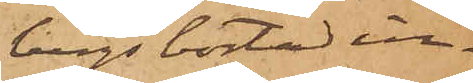bergs bostad in¬
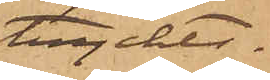tryckts.
